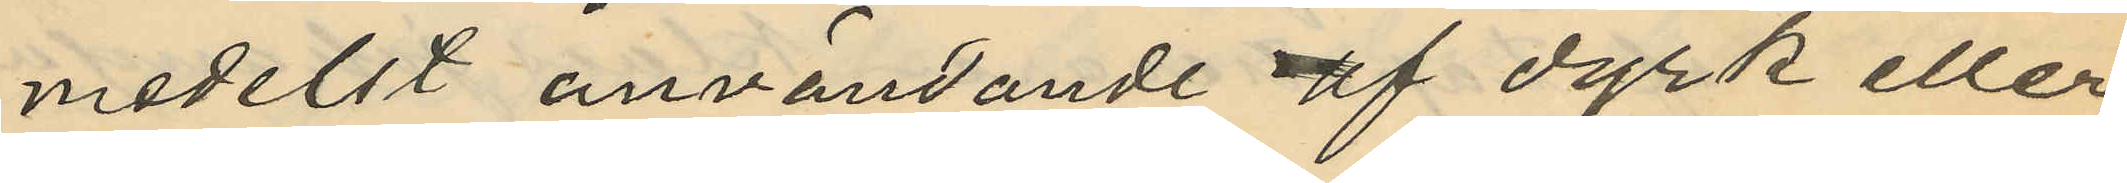medelst användande af dyrk eller
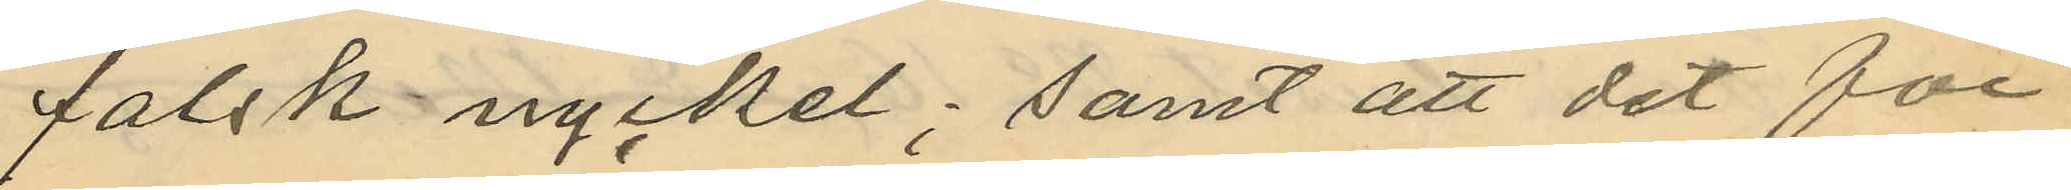falsk nyckel; samt att det för
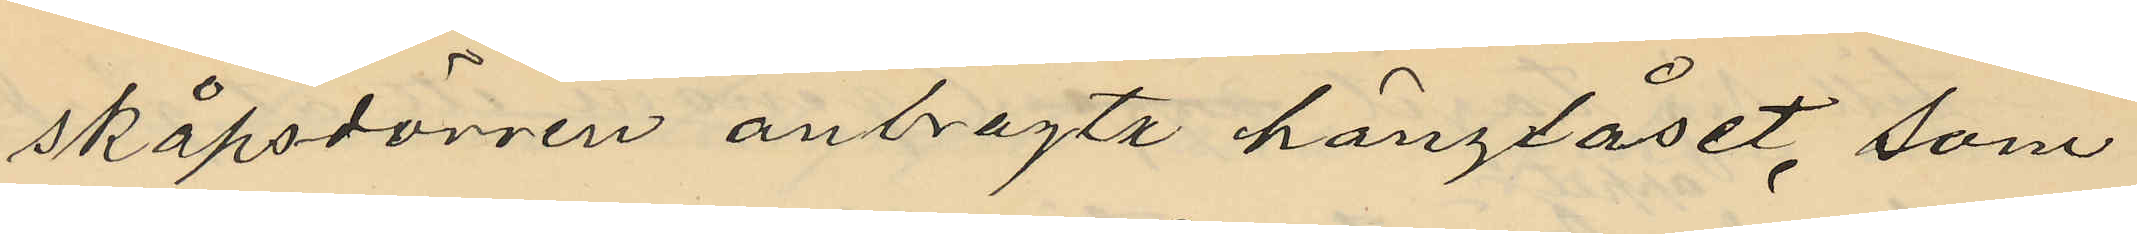skåpsdörren anbragta hänglåset, som
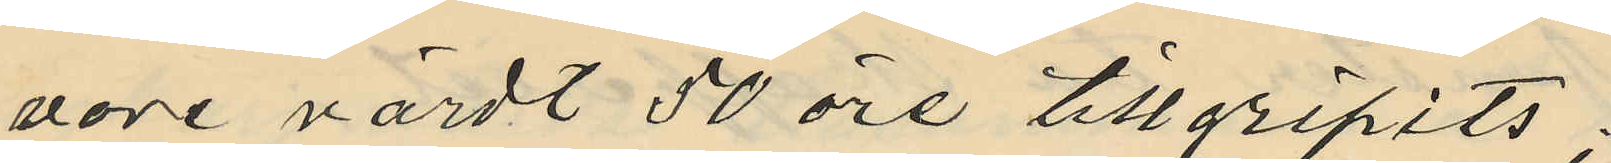vore värdt 50 öre tillgripits;
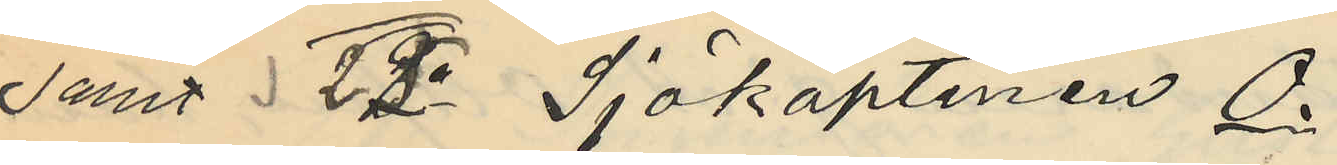samt 22o Sjökaptenen O.
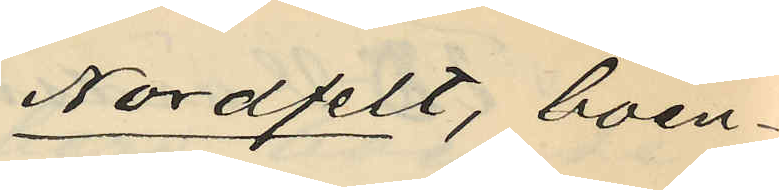Nordfelt, boen¬
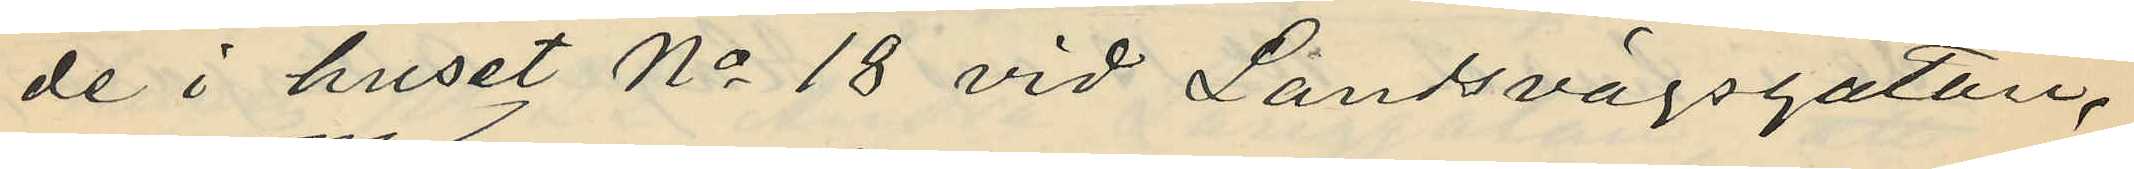de i huset No 18 vid Landsvägsgatan,
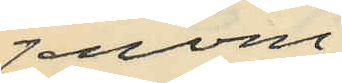genom
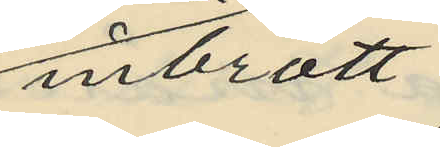inbrott
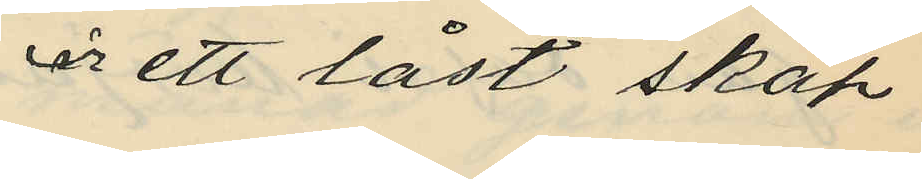ur ett låst skåp
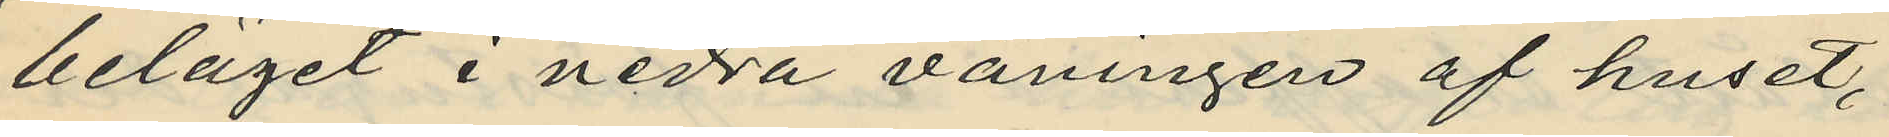beläget i nedra våningen af huset,
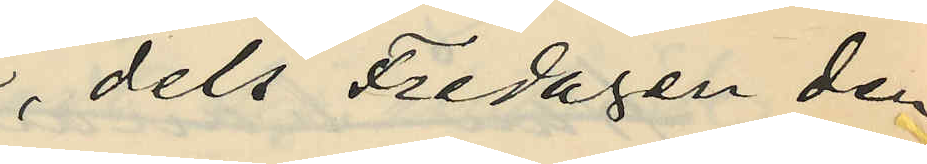dels Fredagen den
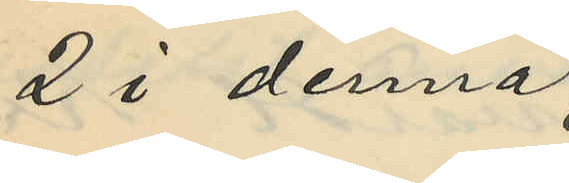2 i denna
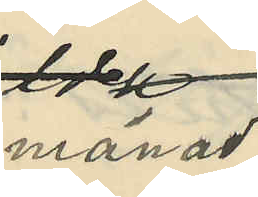månad
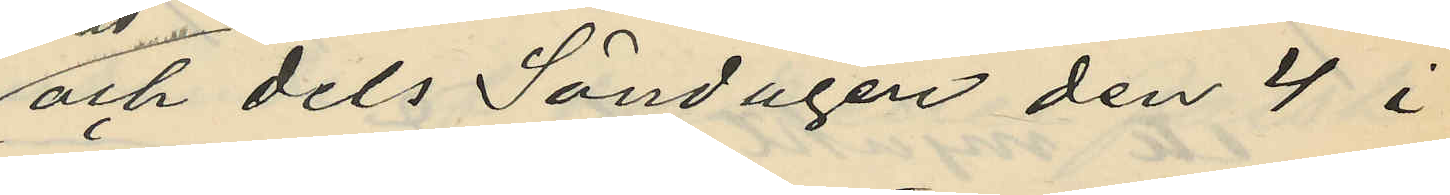och dels Söndagen den 4 i
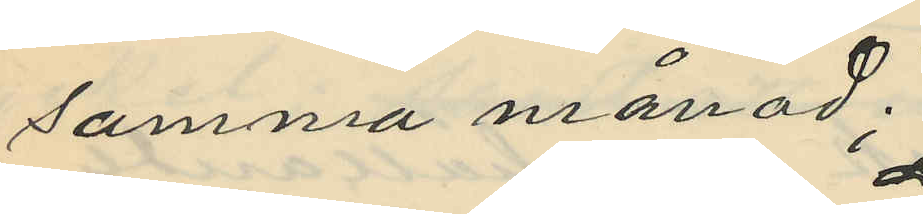samma månad;
